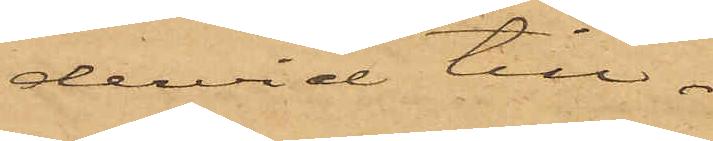dervid till¬
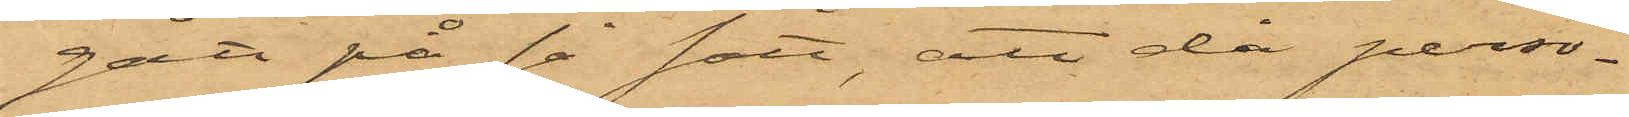gått på så sätt, att då perso¬
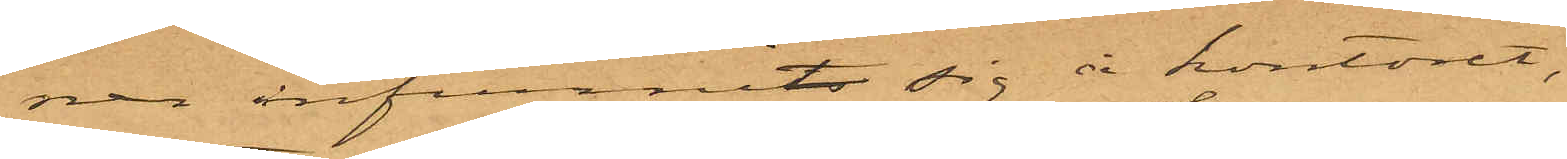ner infunnits sig å kontoret,
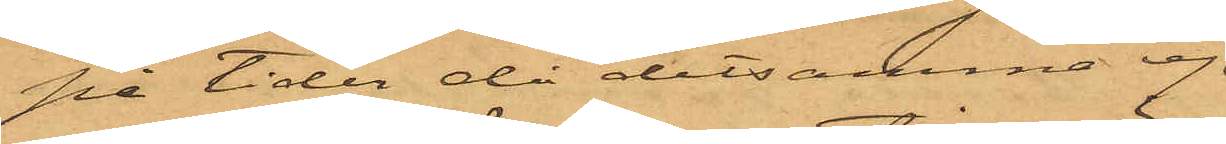på tider då detsamma ej
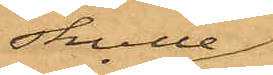skulle
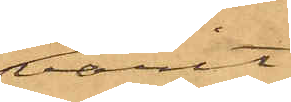varit
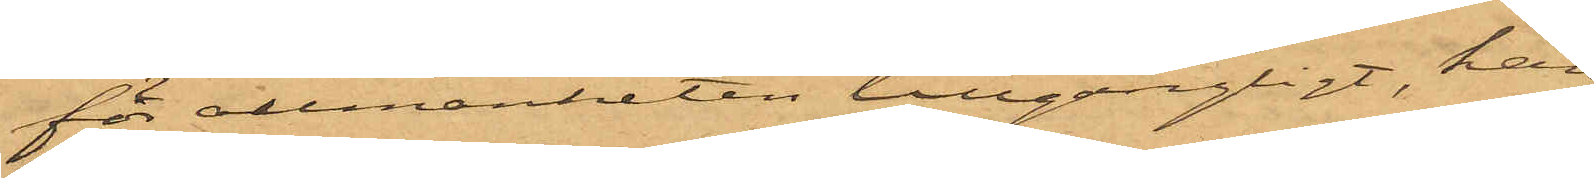för allmänheten tillgängligt, han
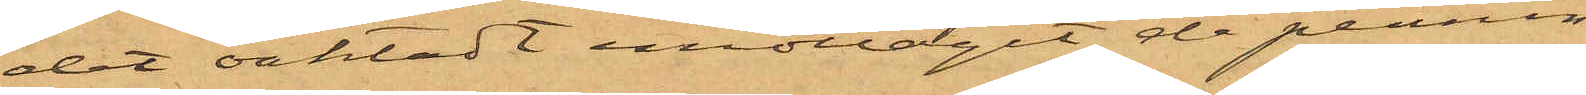det oaktadt emottagit de pennin¬
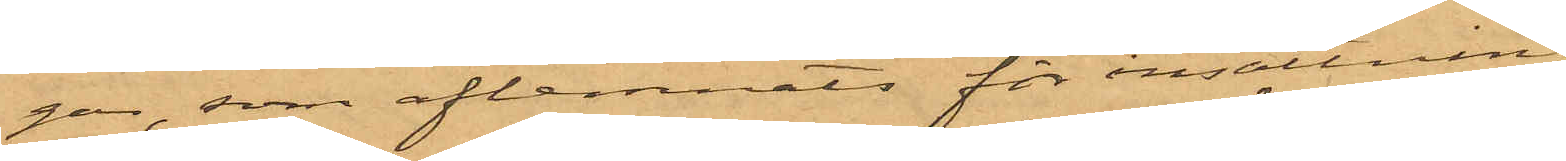gar som aflemnats för insättning
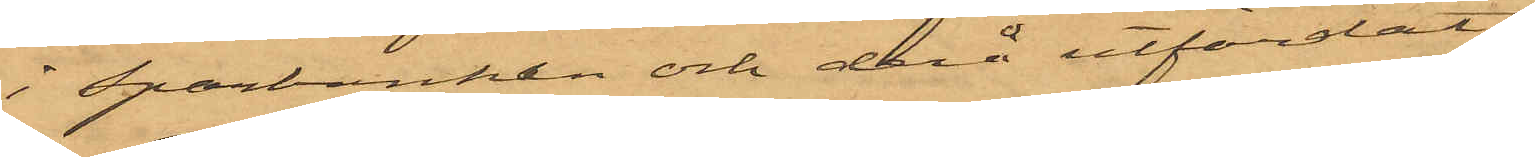i Sparbanken och derå utfärdat
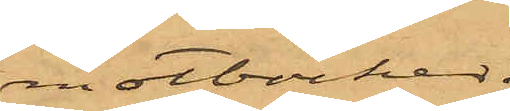motböcker
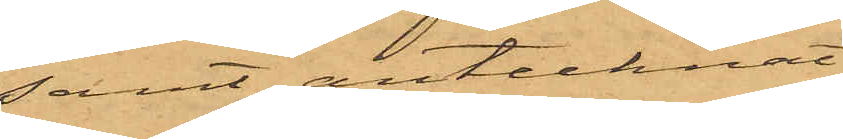samt antecknat
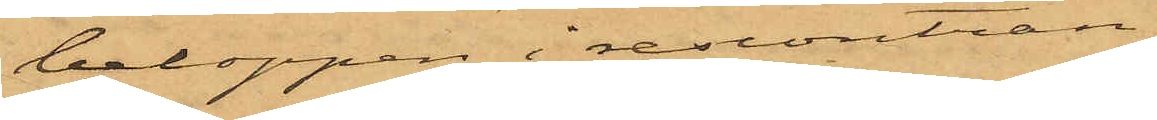beloppen i reskontran;
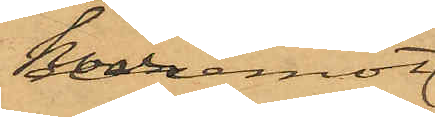hvaremot 
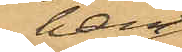han
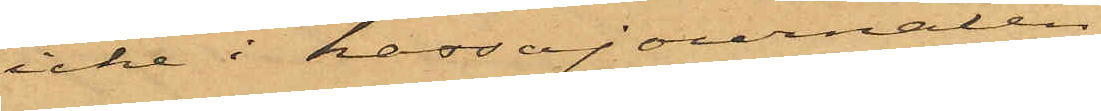icke i kassajournalen
